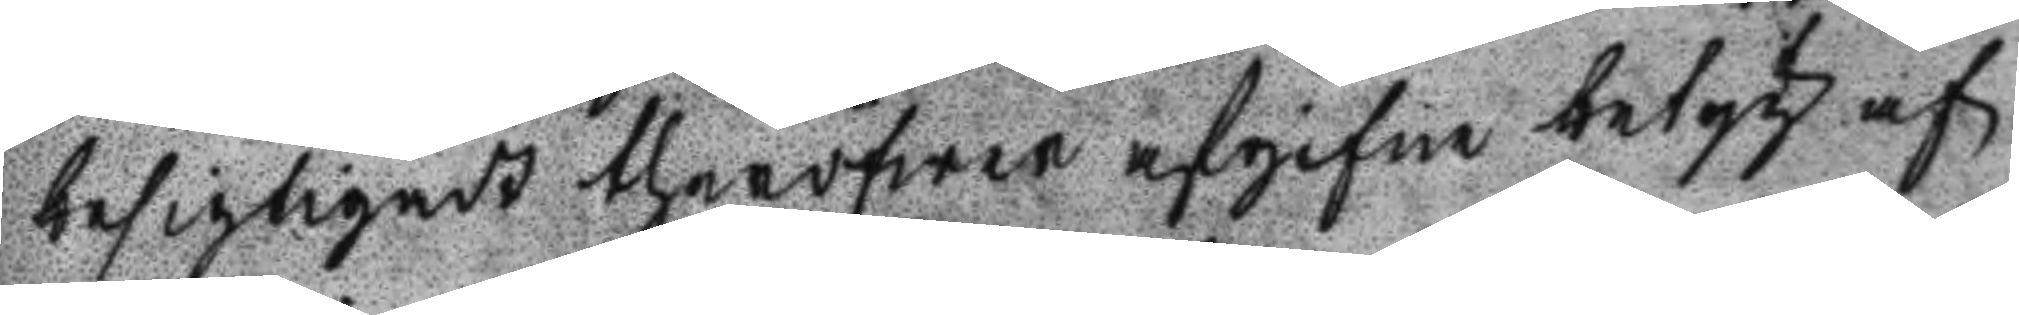besigtigadt theröfwer afgifne betyg af
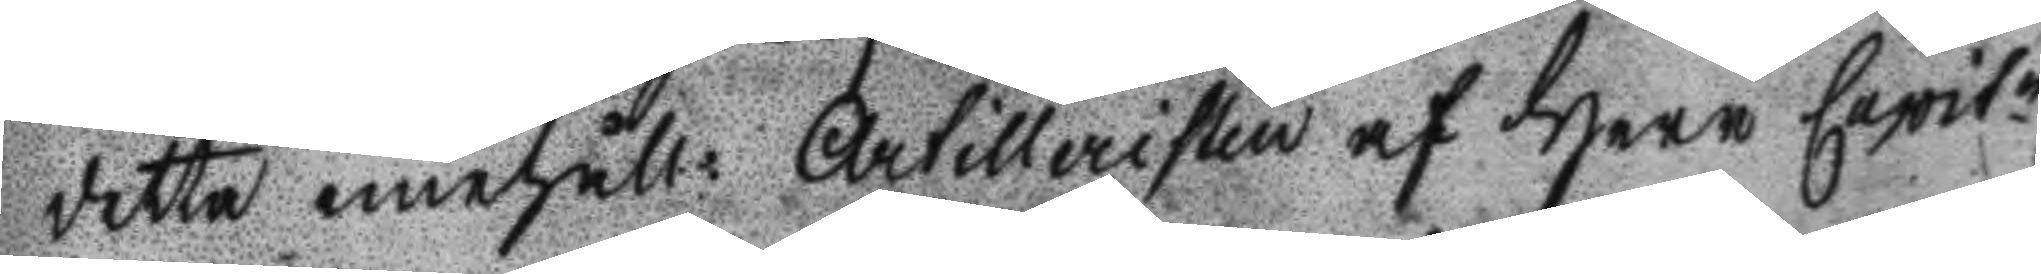detta innehåll: Artilleristen af Herr Capitn
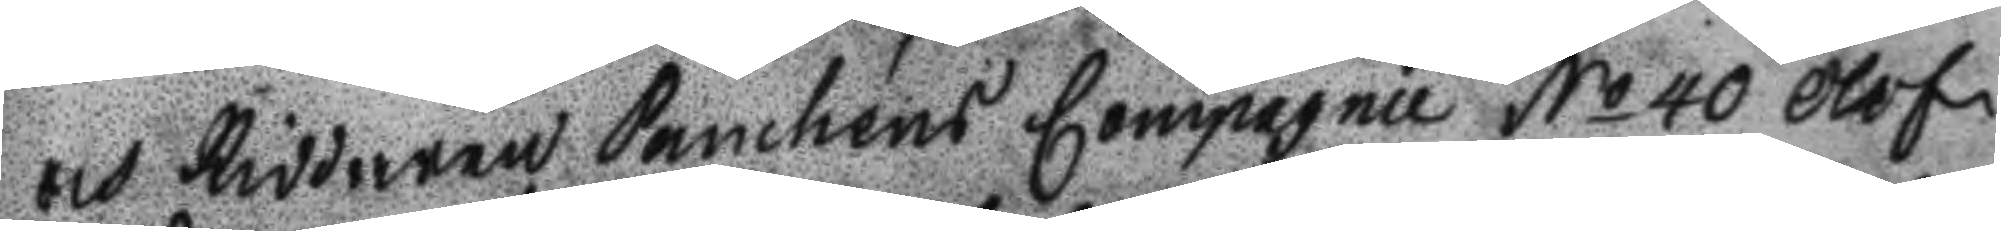och Riddaren Panchéns Compagnie No 40 Olof
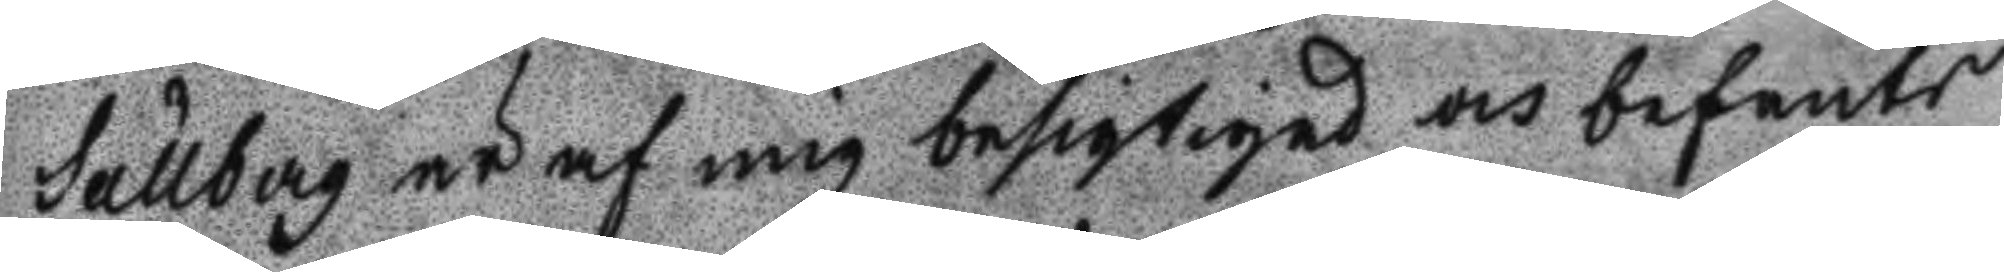Sällberg är af mig besigtigad och befants
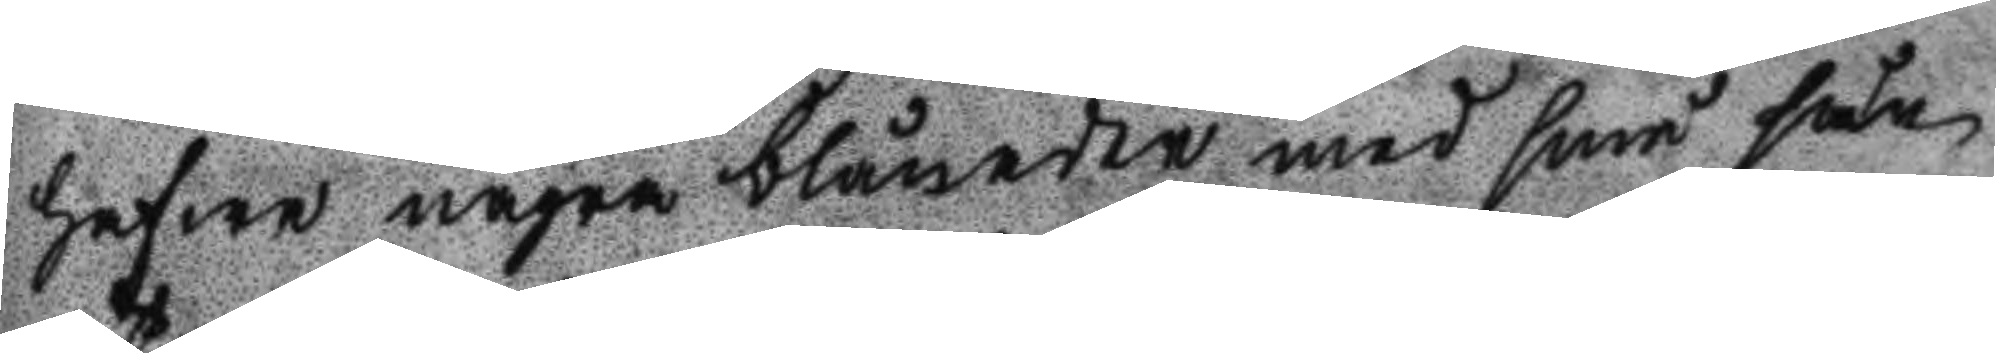hafwa några blånader med små sår
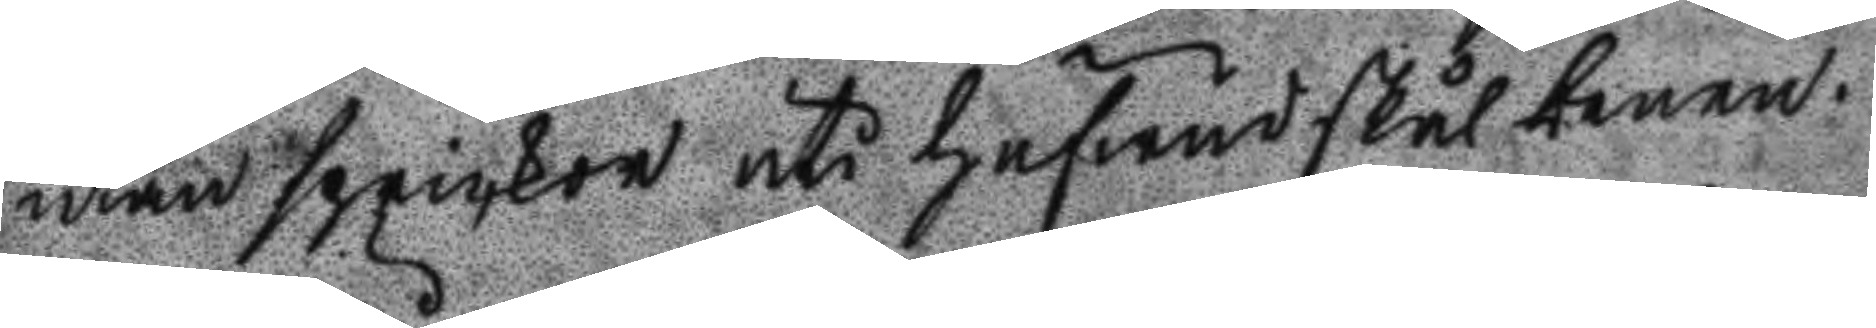utan sprickor uti hufwudskålbenen.
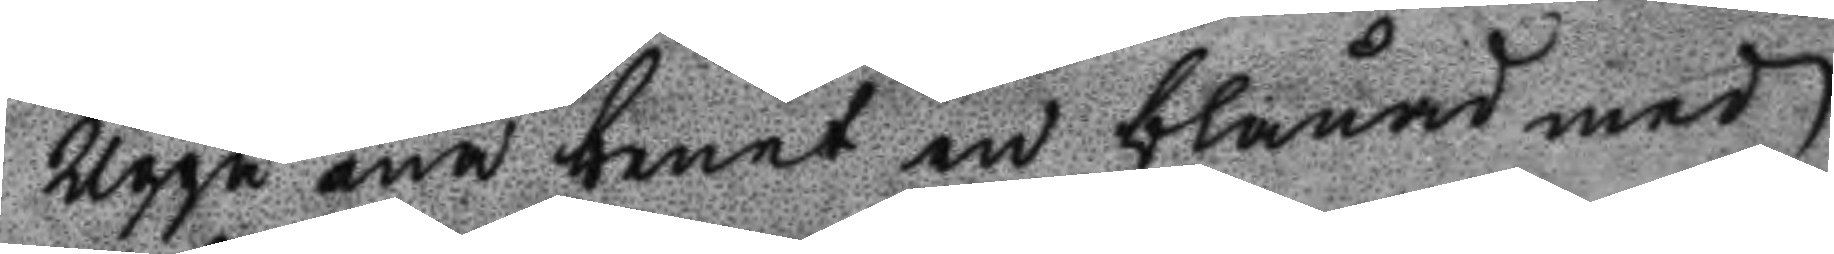Uppå ena benet en blånad med
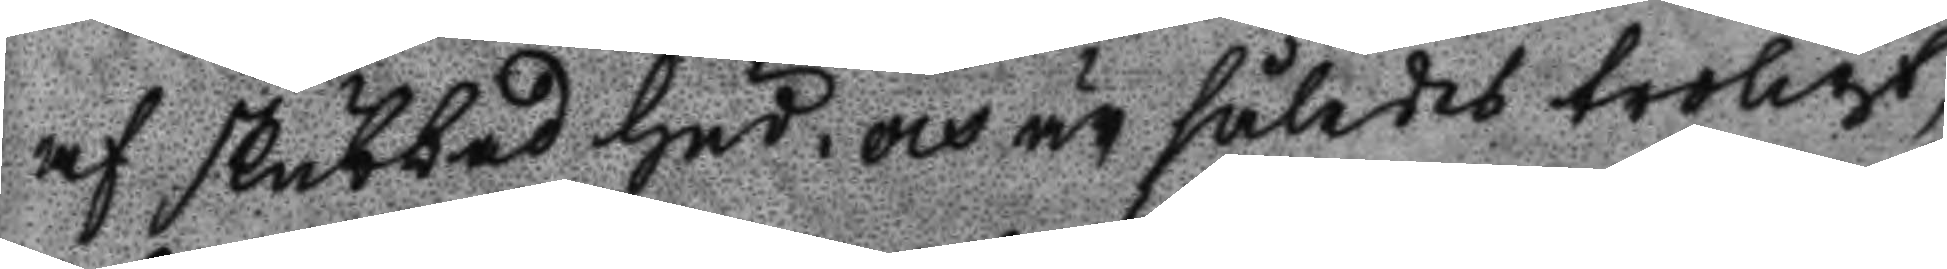af skubbad hud och är således troligt,
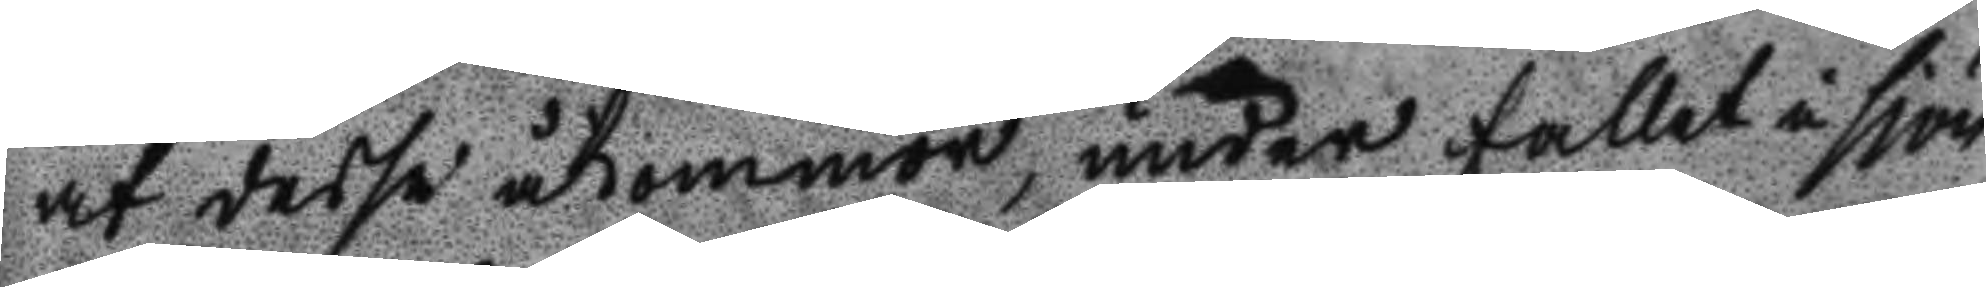at dessa åkommor, under fallet i sjön
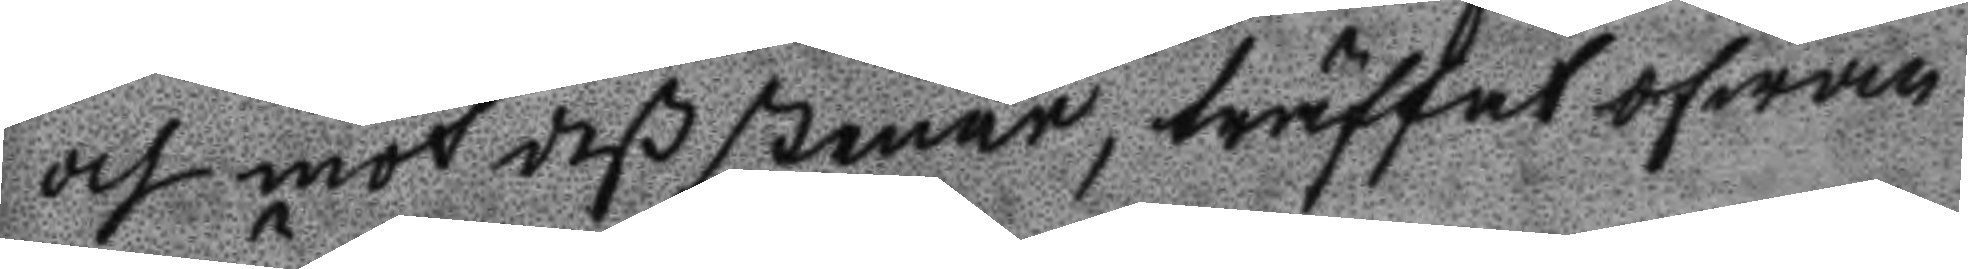och mot deß stenar, träffat ofwan
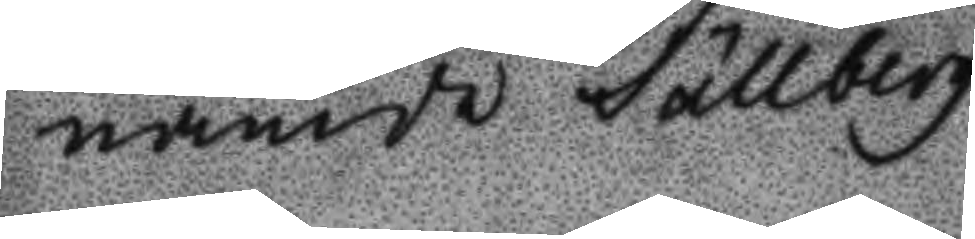nämde Sällberg.
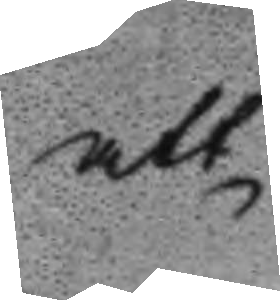att
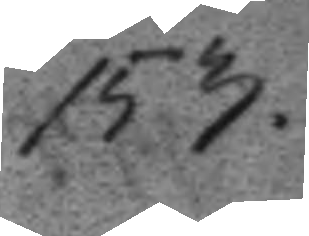153.
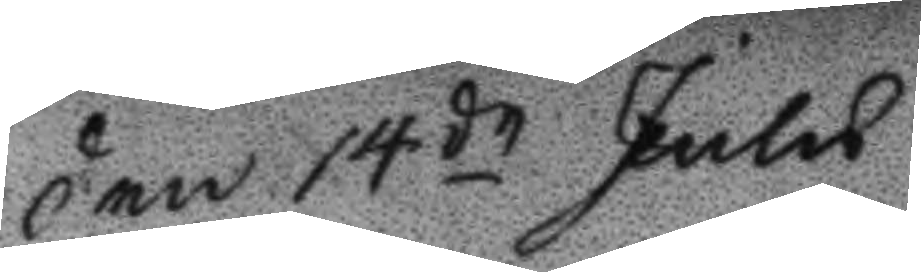Den 14de Julu
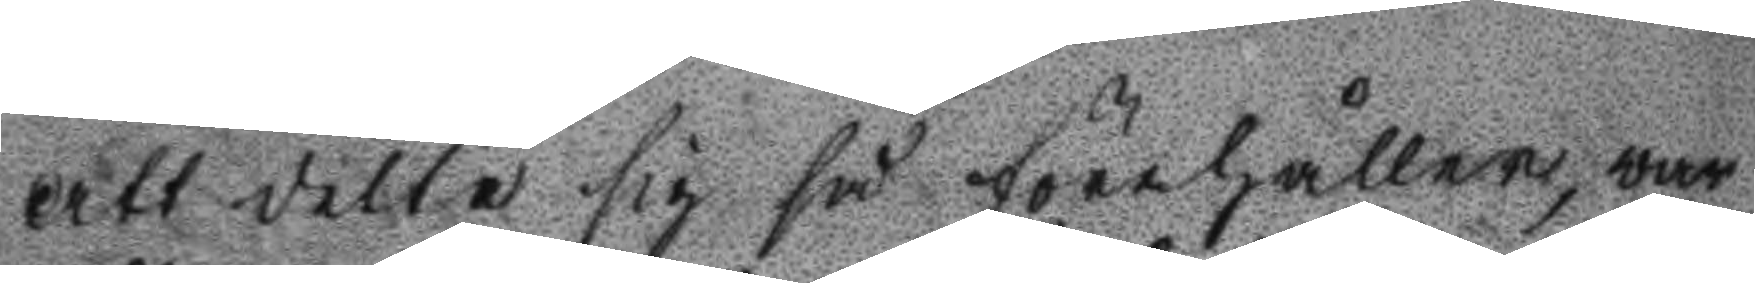Att detta sig så förehåller, war
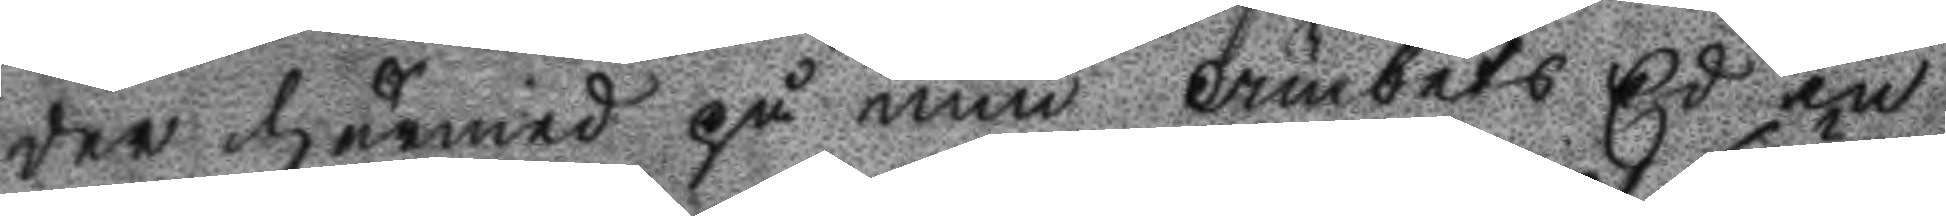der härmed på min Ämbets Ed in
